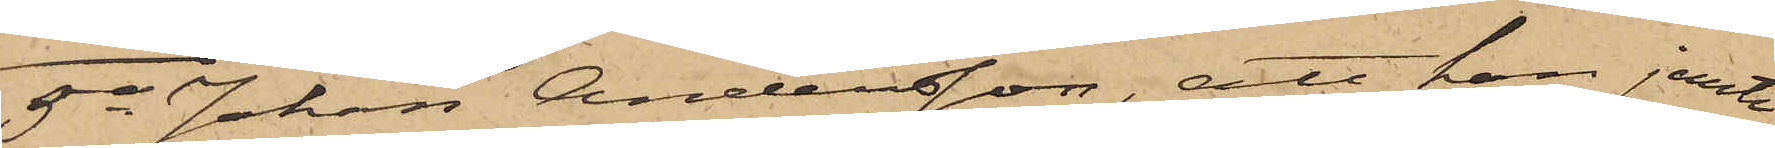5o Johan Andersson, att han jemte
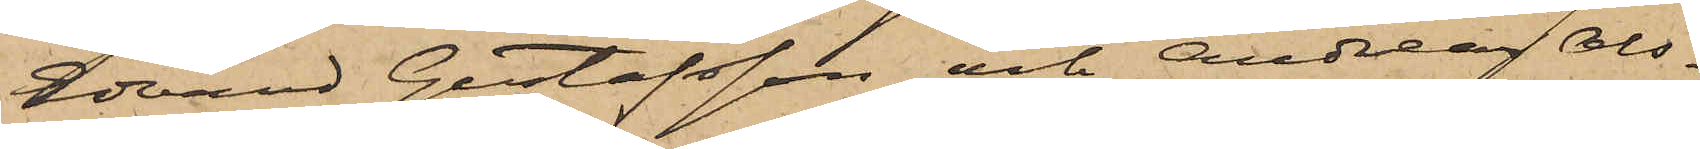Edvard Gustafsson och Andreas Ols¬
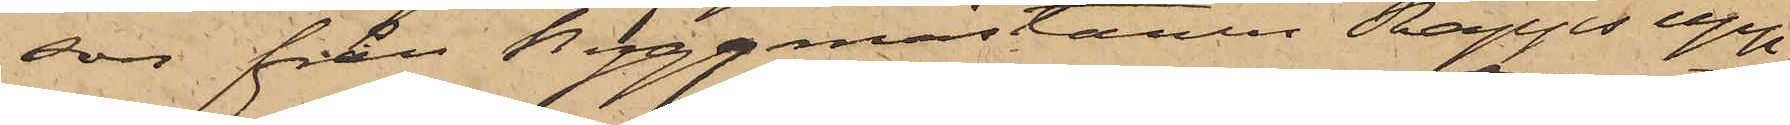son från Byggmästaren Rapps upp¬
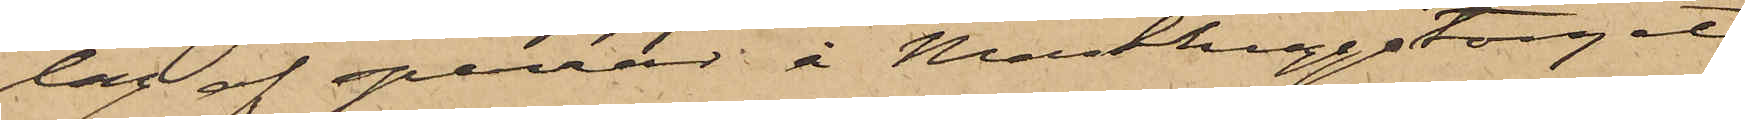lag af sparrar å Masthuggstorget
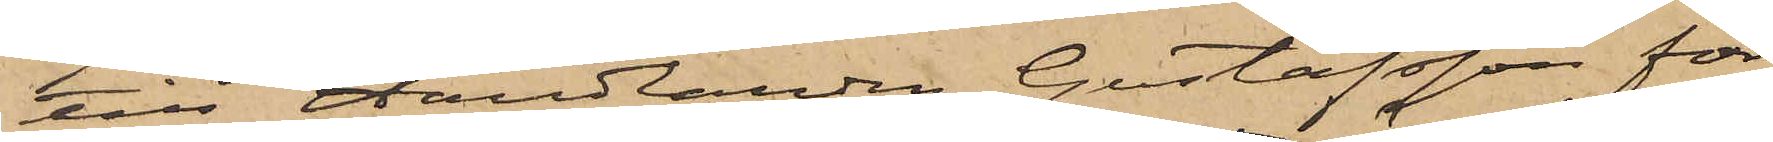till Handlanden Gustafsson för¬
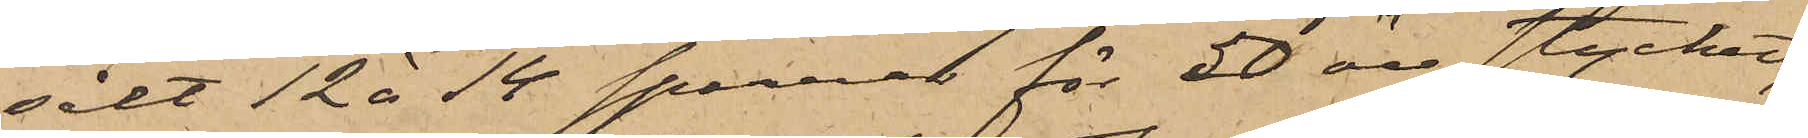sålt 12 à 14 sparrar för 50 öre stycket,
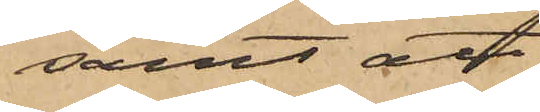samt att
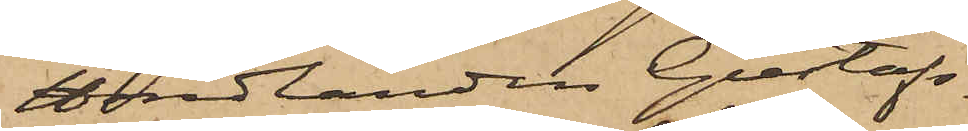Handlanden Gustafs¬
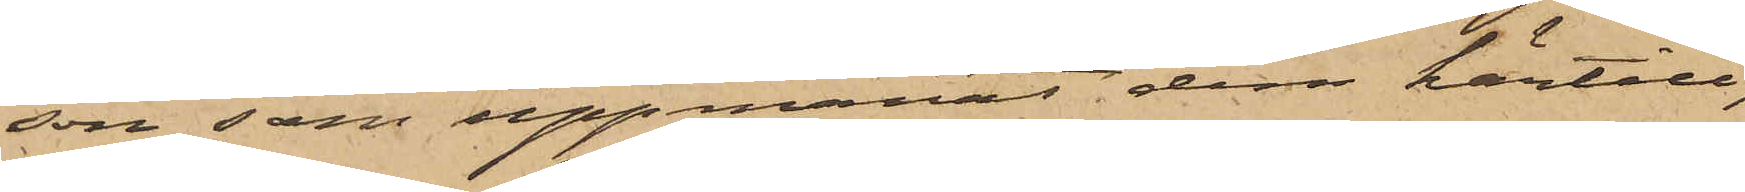son, som uppmanat dem härtill,
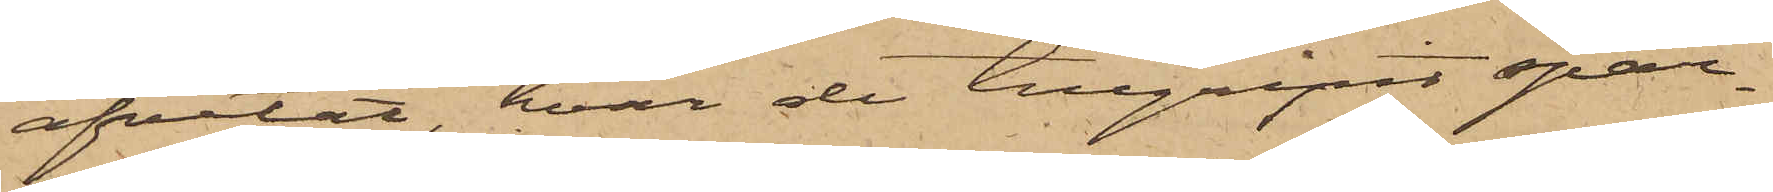afvetat, hvar de tillgripit spar¬
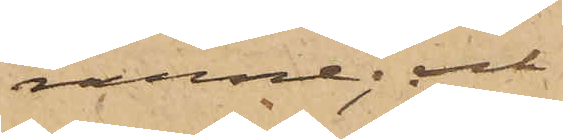rarne; och
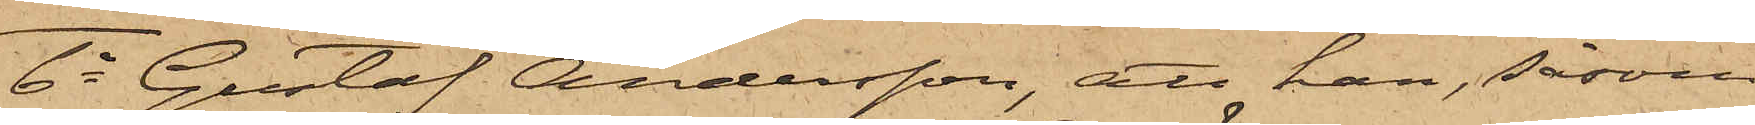6o Gustaf Andersson att han, såsom
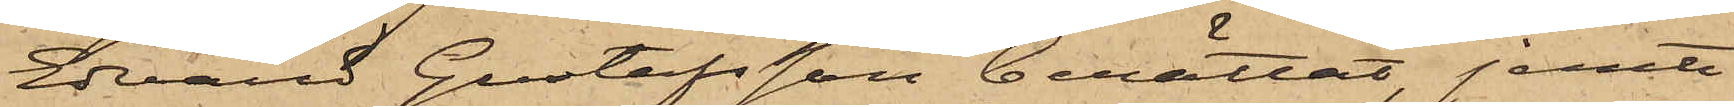Evard Gustafsson berättat, jemte
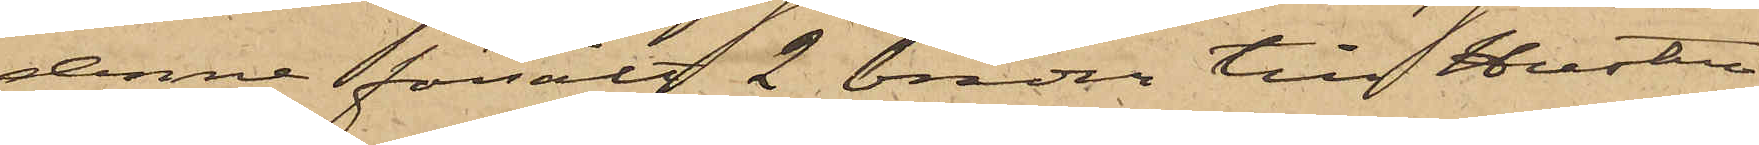denne försålt 2 bräder till hustru
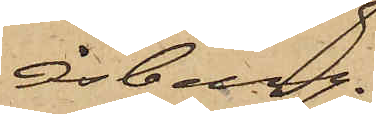Isberg.
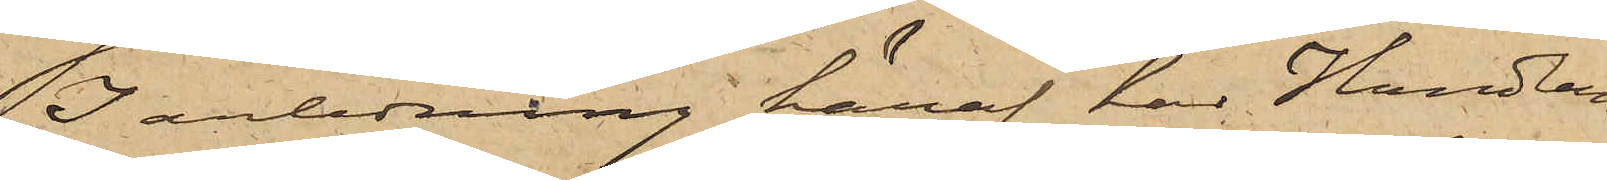I anledning häraf har Handlan¬
